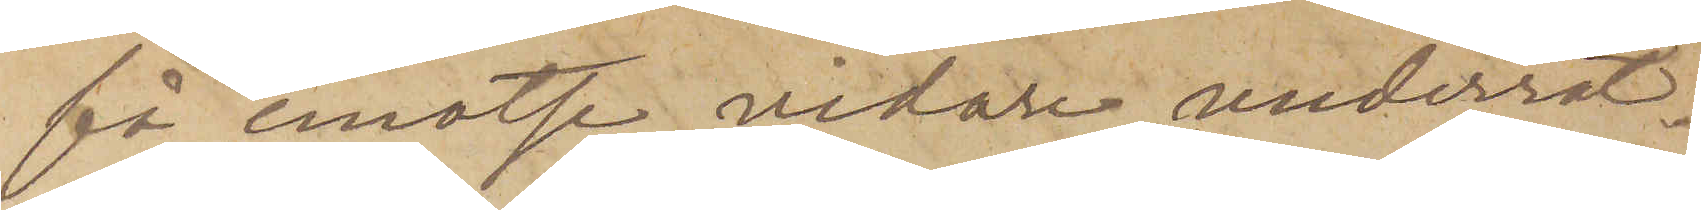få emotse vidare underrät¬
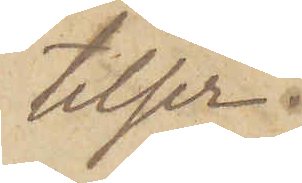telser.
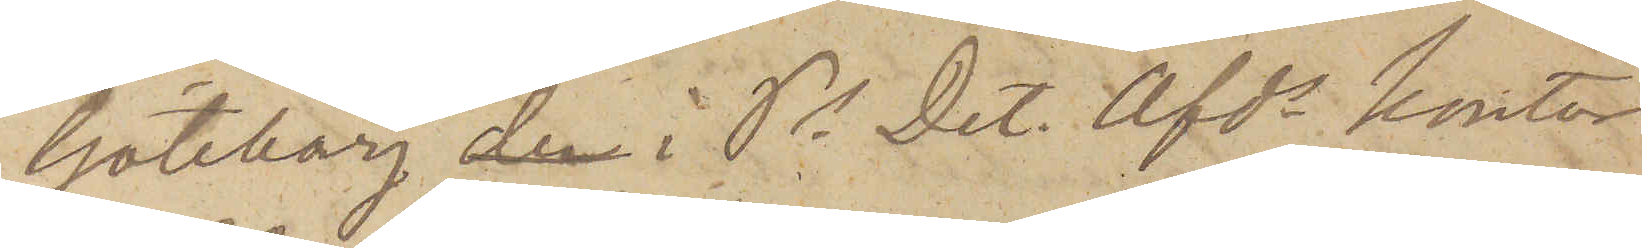Göteborg den i Ps. Det. Afds kontor
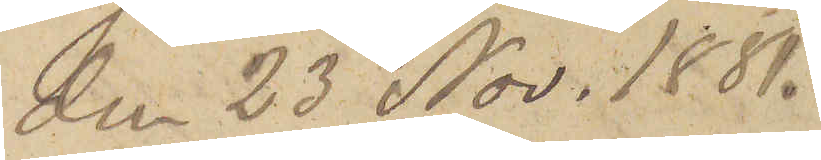den 23 Nov. 1881.
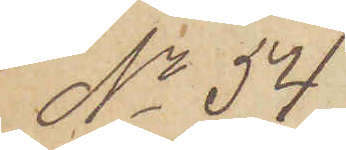No 54.
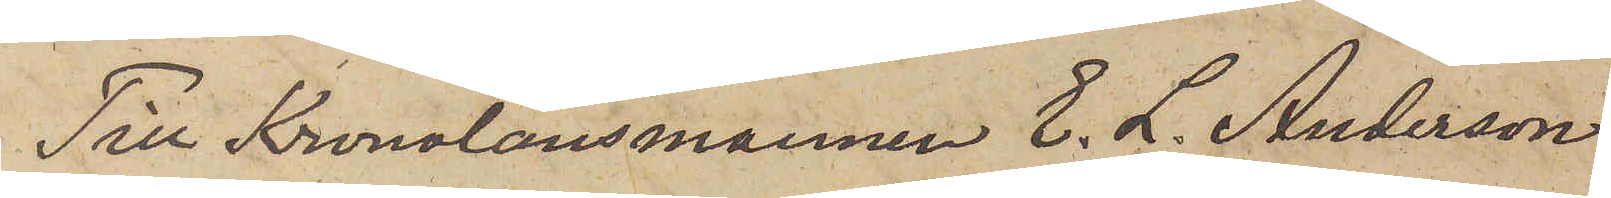Till Kronolänsmannen E. L. Andersson.
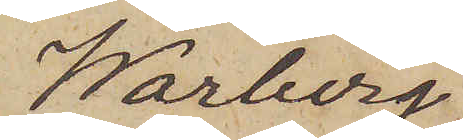Warberg.
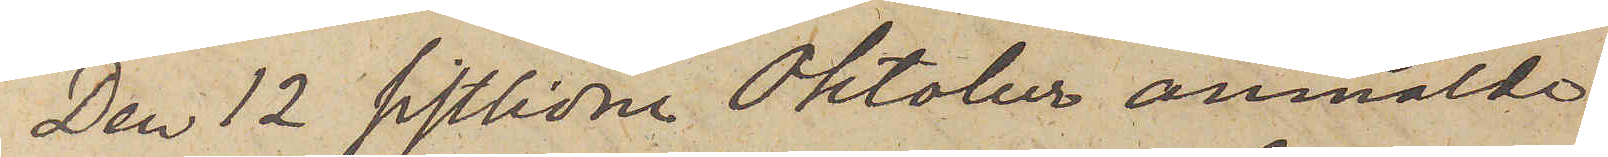Den 12 sistlidne Oktober anmälde
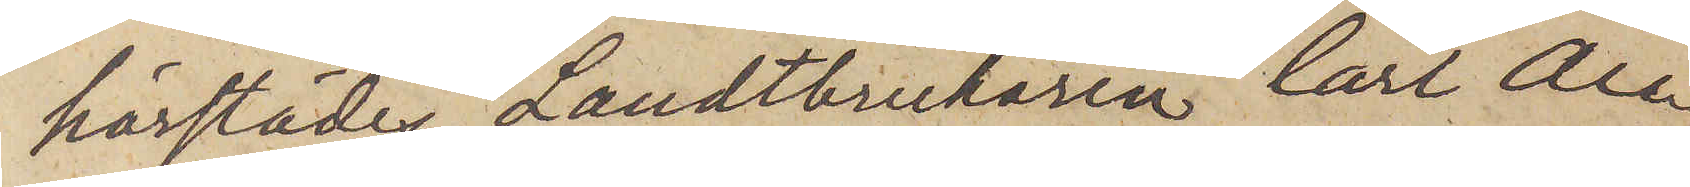härstädes Landtbrukaren Carl Au¬
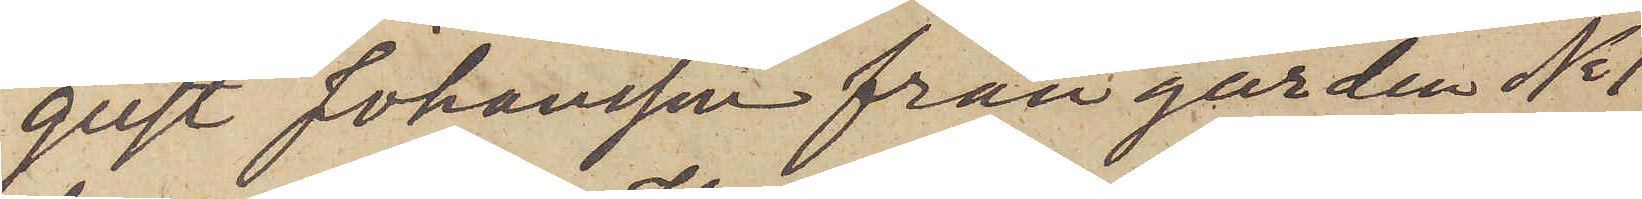gust Johansson från gården No 1
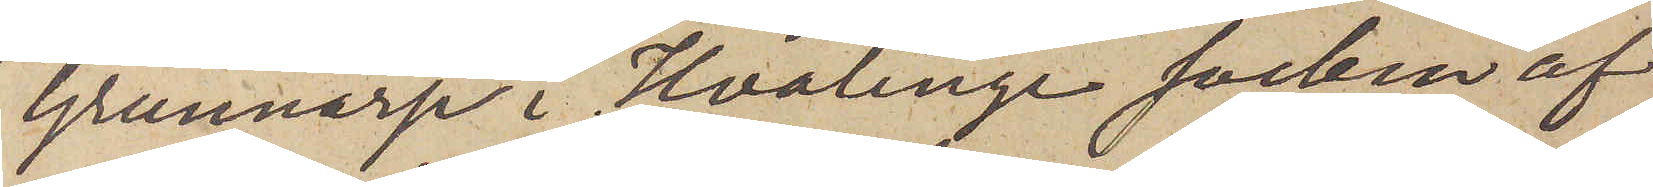Grunnarp i Hvalinge socken af
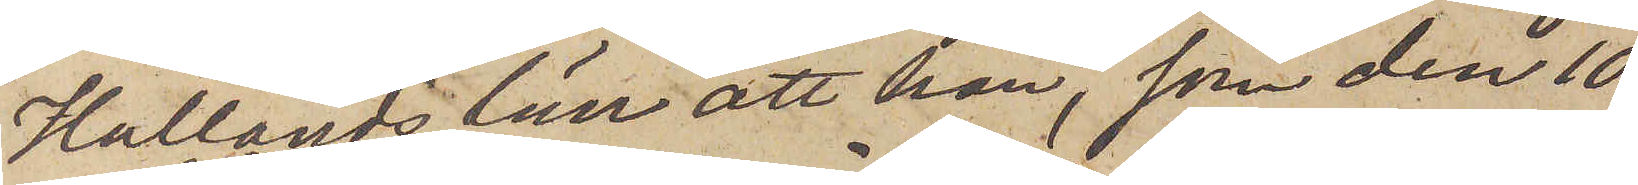Hallands län att han, som den 10
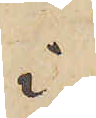i
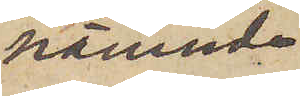nämnde
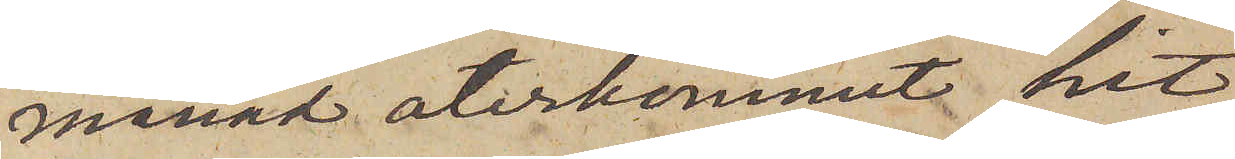månad återkommit hit
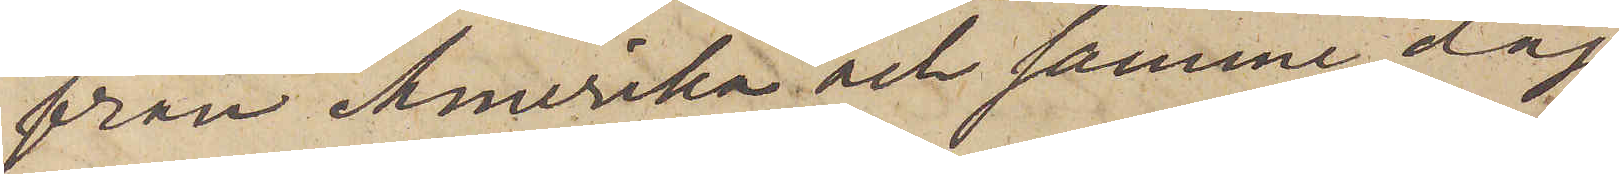från Amerika och samme dag
